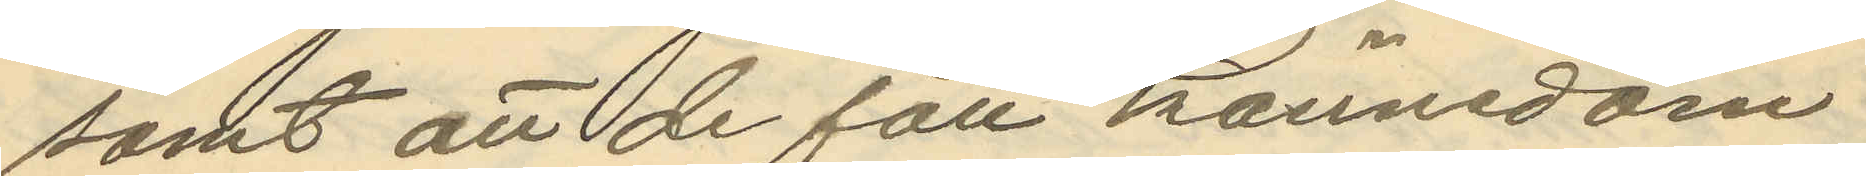samt att de fått kännedom
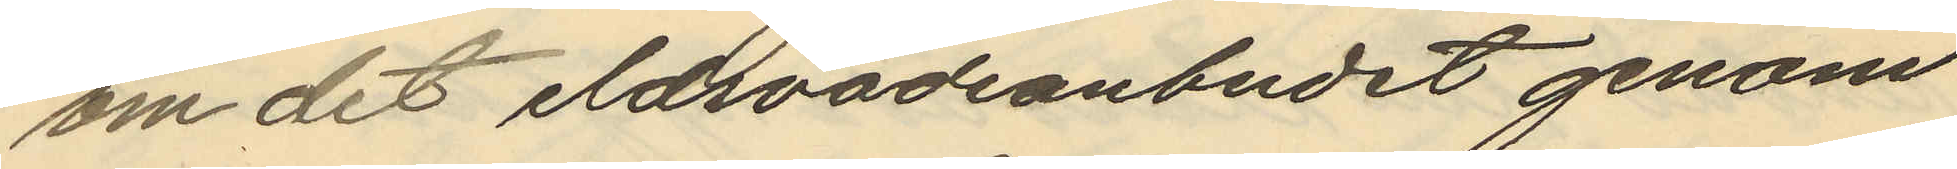om det eldsvådsanbudet genom
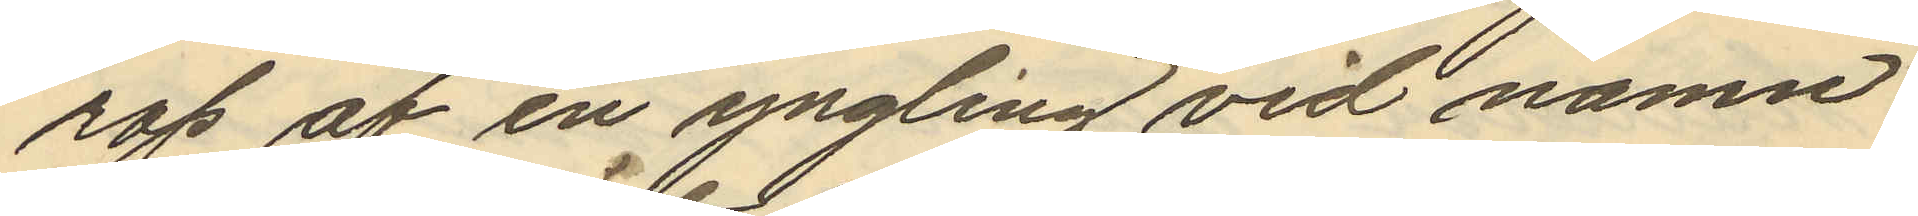rop af en yngling vid namn
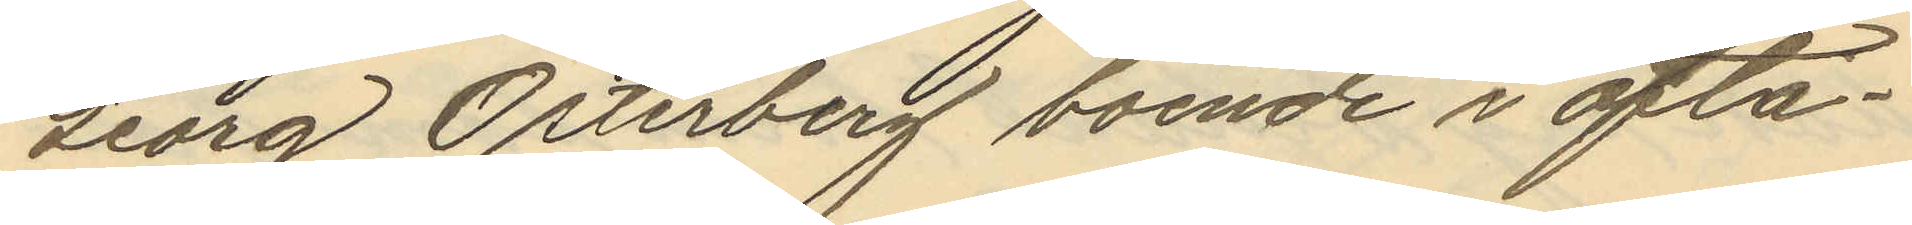Georg Österberg boende i ofta¬
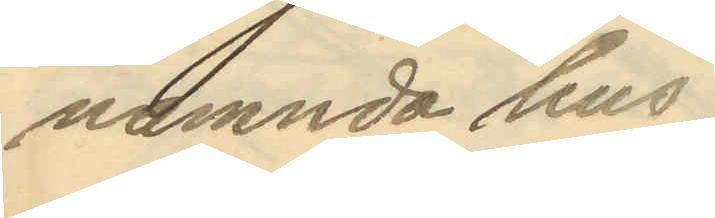namnda hus;
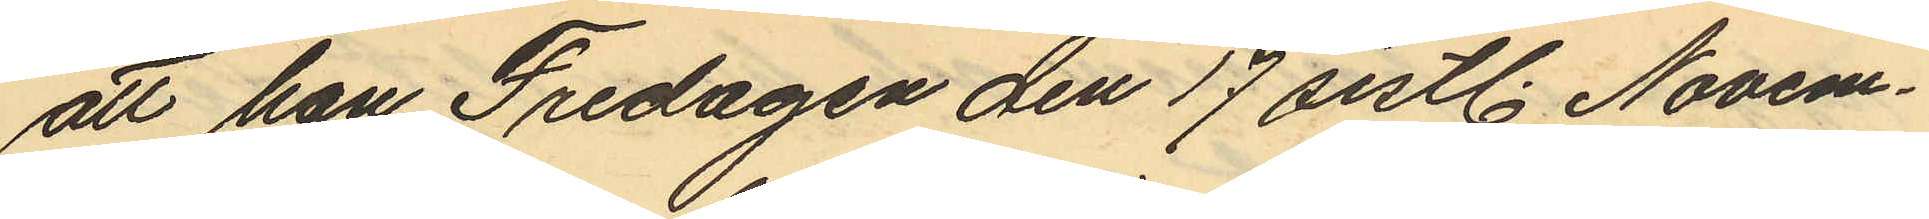att han Fredagen den 17 sistl. Novem¬
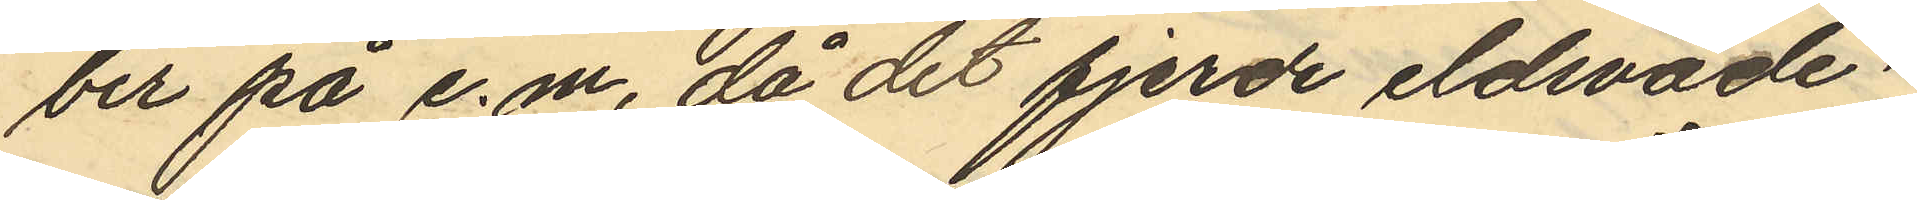ber på e.m, då det fjerde eldsvåde¬
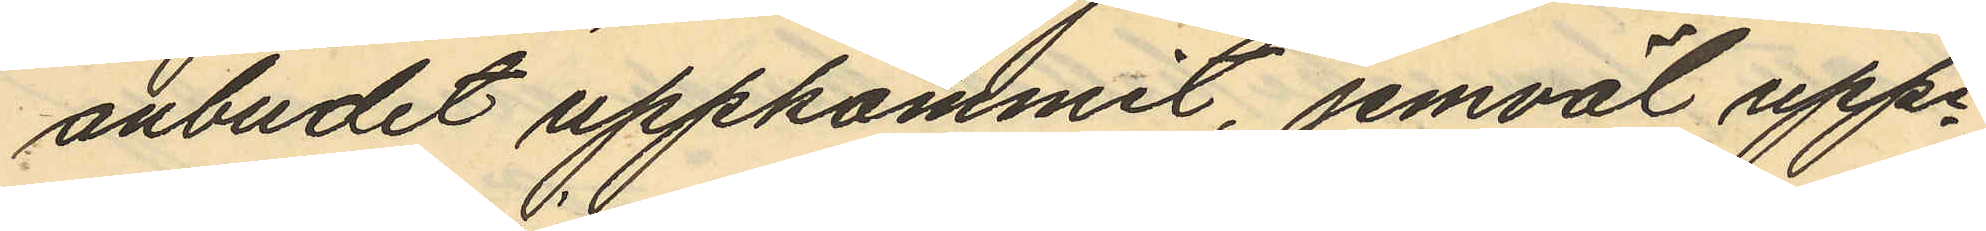anbudet uppkommit, jemväl uppe¬
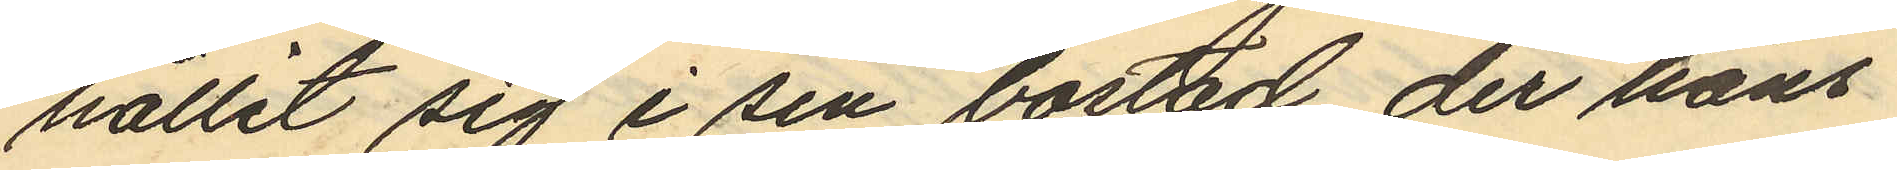hållit sig i sin bostad, der hans
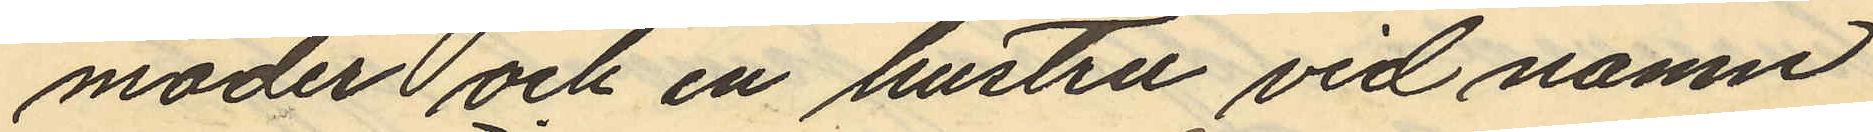moder och en hustru vid namn
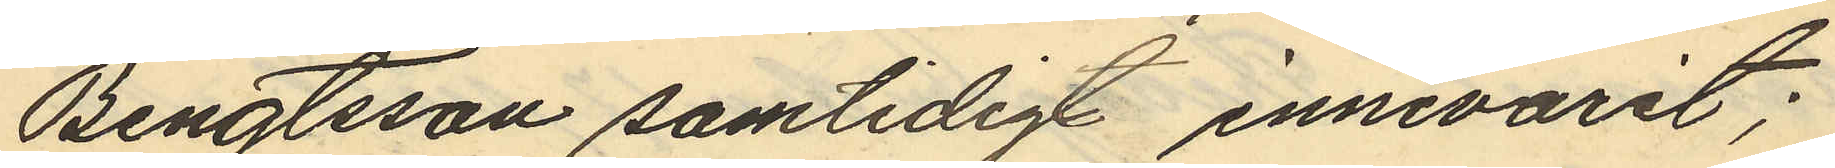Bengtsson samtidigt innevarit;
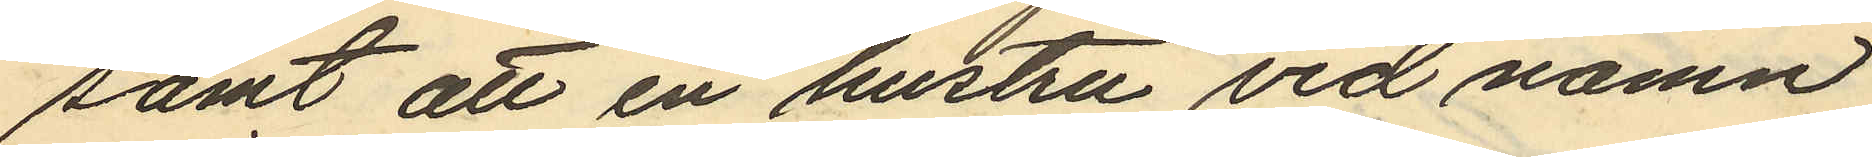samt att en hustru vid namn
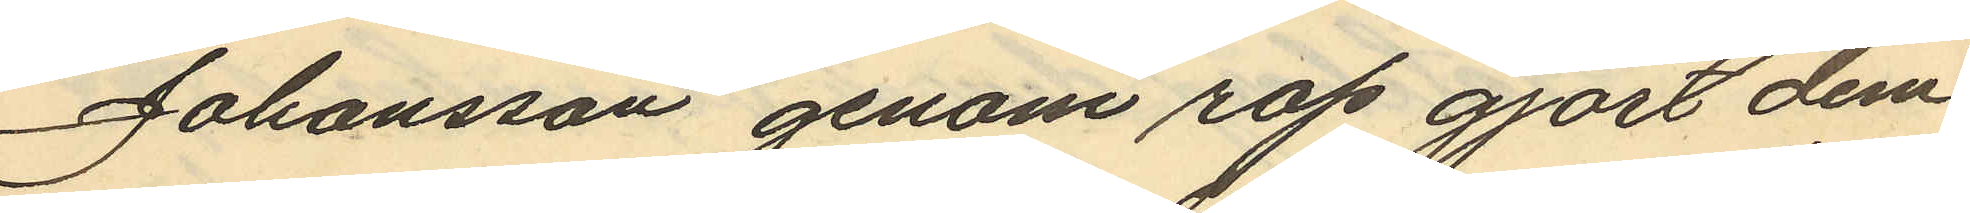Johansson genom rop gjort dem
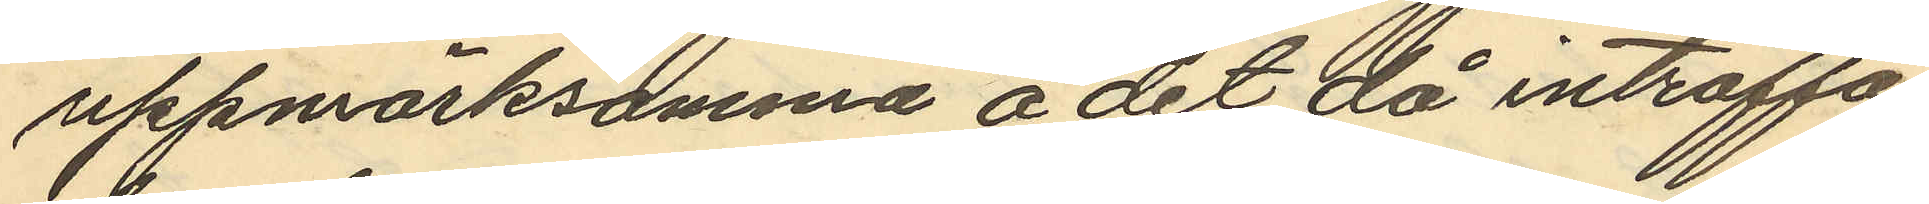uppmärksamma å det då inträffa¬
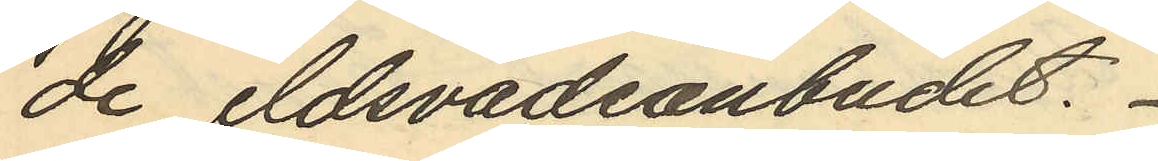de eldsvådeanbudet.
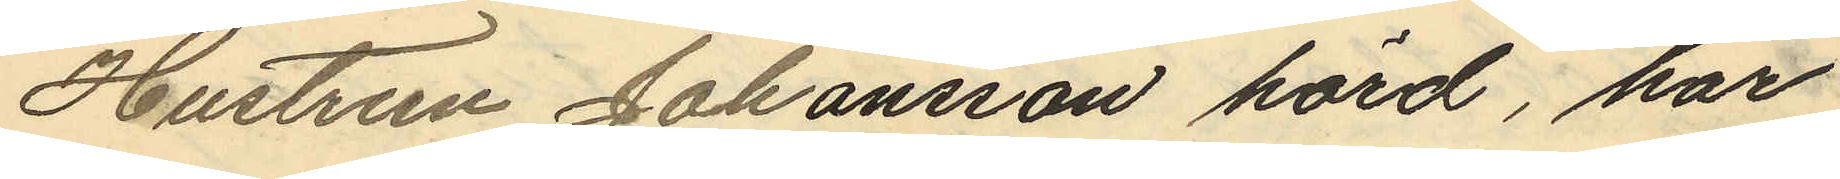Hustrun Johansson hörd, har
